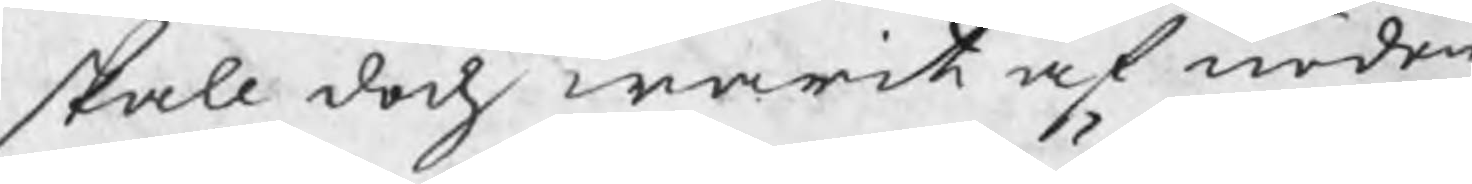skall doch warit af nöden
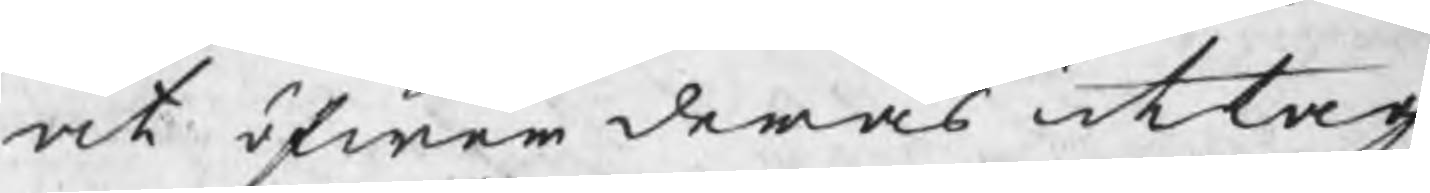at öfwer deras uttag
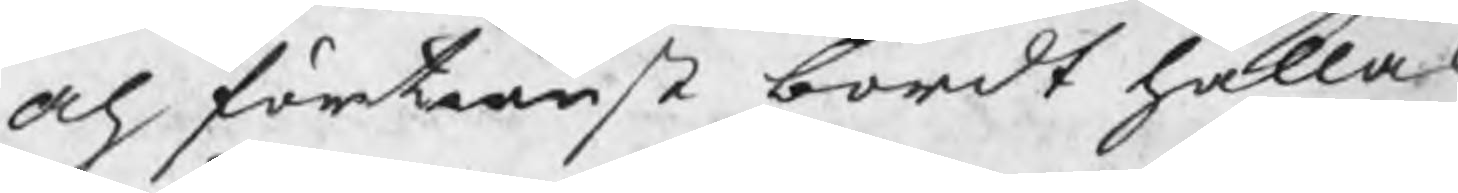och förtienst bordt hållas
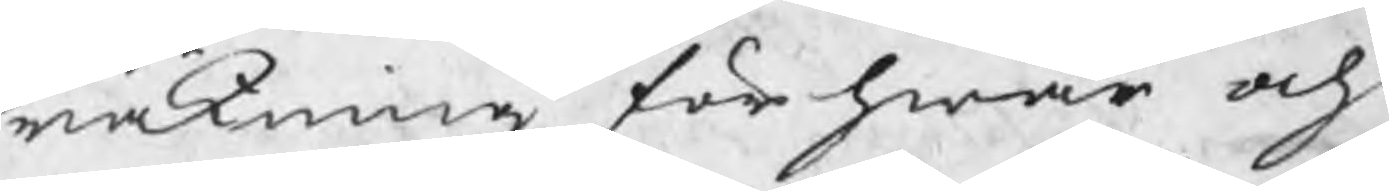räkning, för hwar och
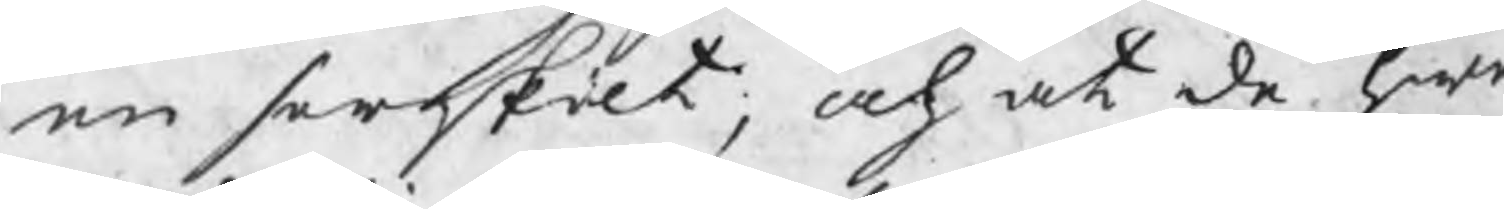en serskilt, och at de hwa
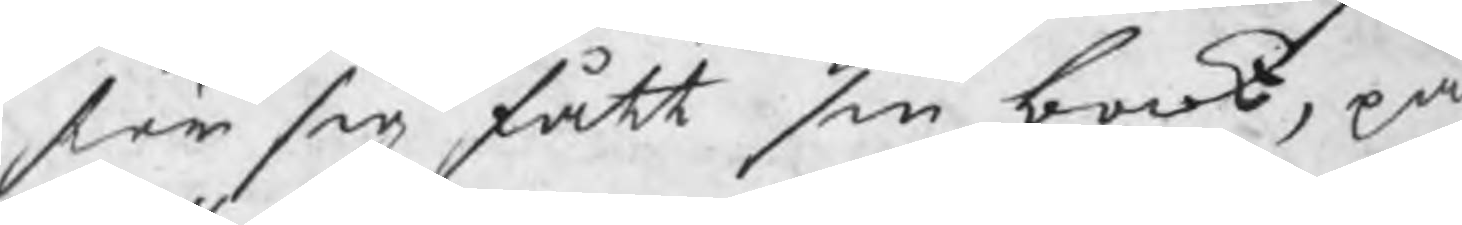för sig fått sin book, på
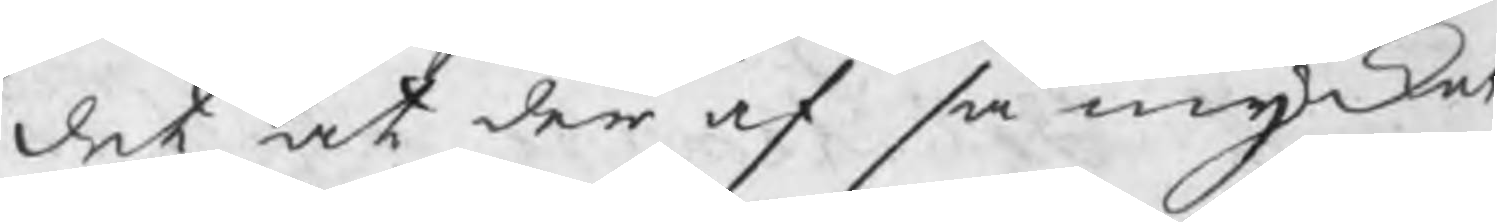det at der af så mycket
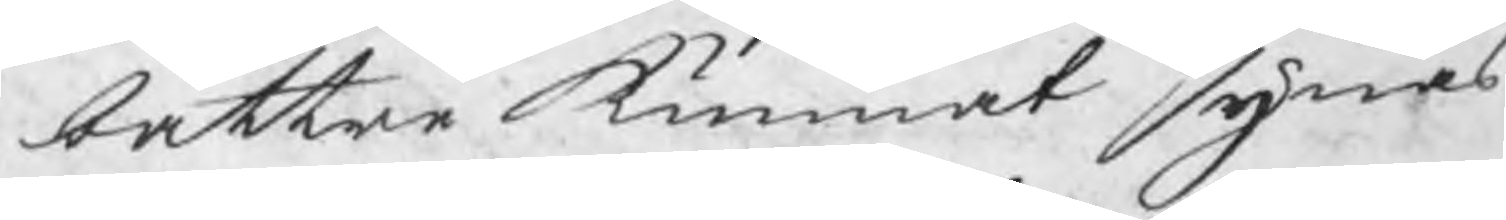bättre kunnat synas
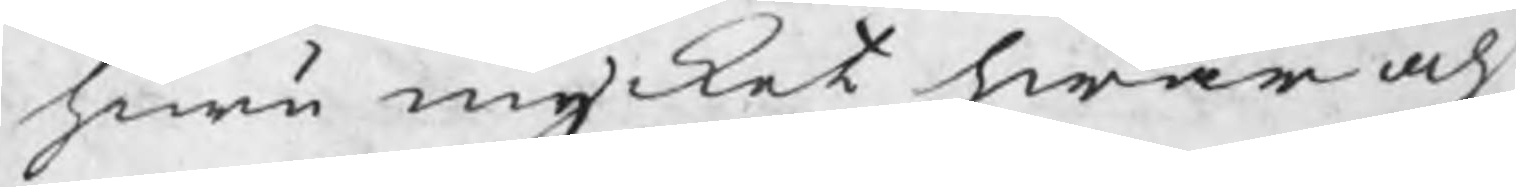huru mycket hwar och
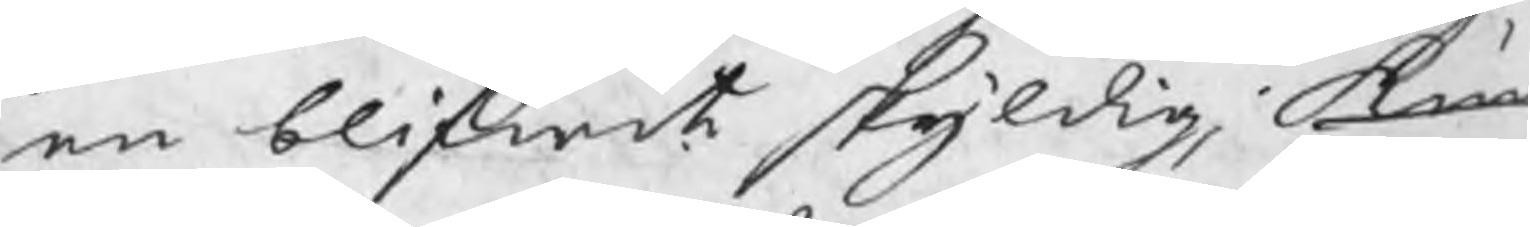en blifwit skyldig, kun
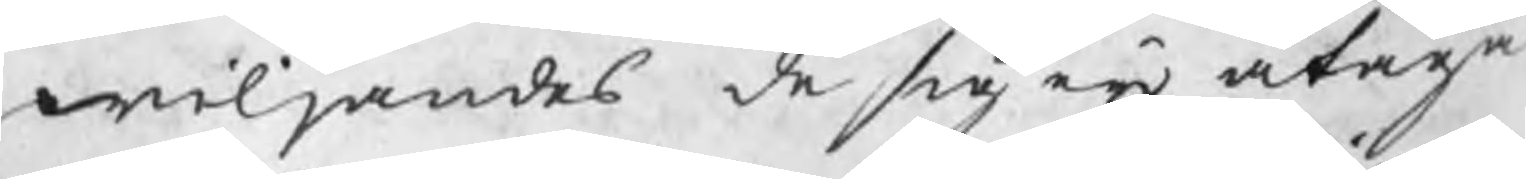wiljandes de sig eij åtaga
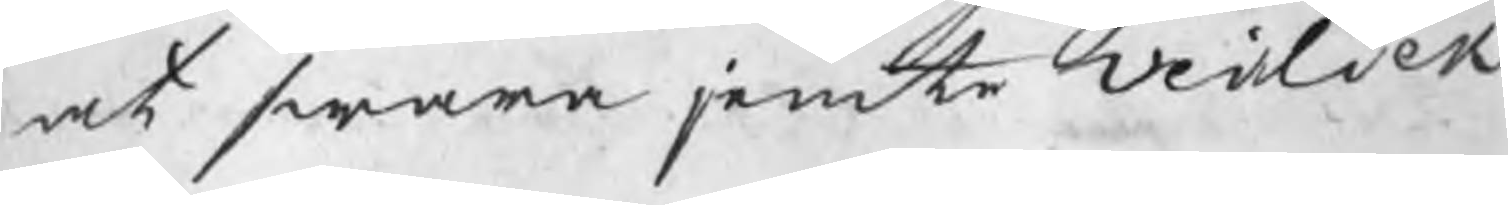at swara jemte Veilick
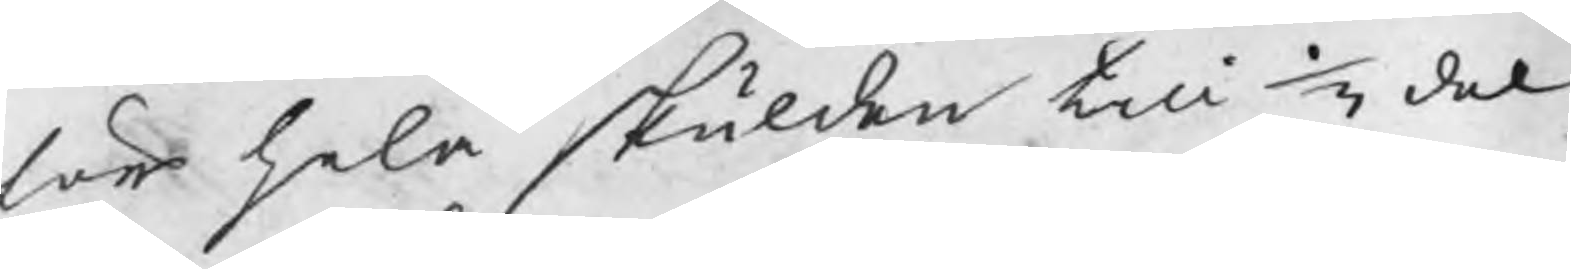för hela skulden till 1/3 del
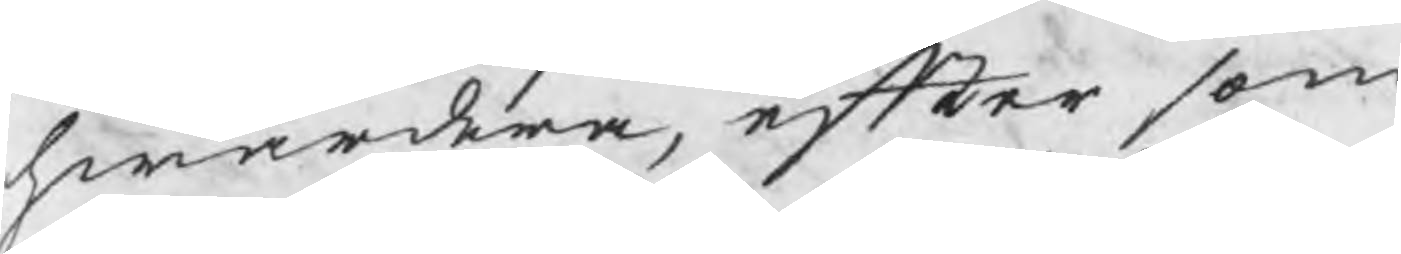hwardera, efter som
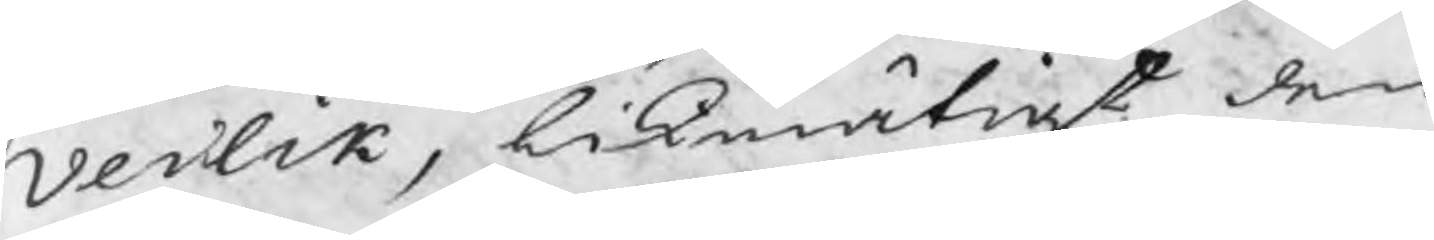Veilik, likmätigt den
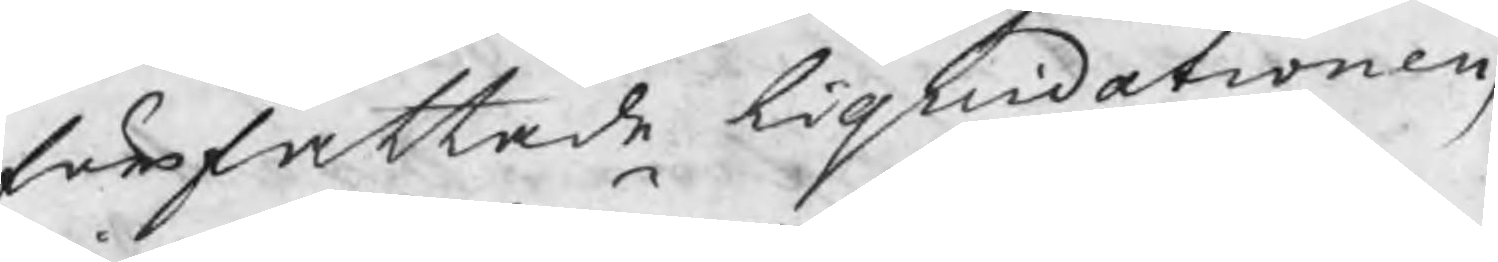författade liquidationen,
